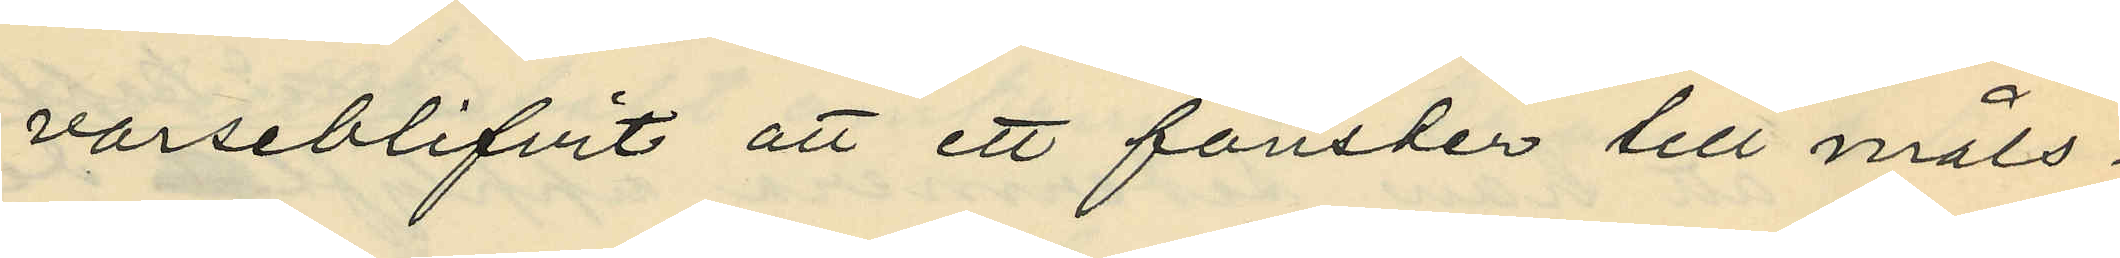varseblifvit att ett fönster till måls¬
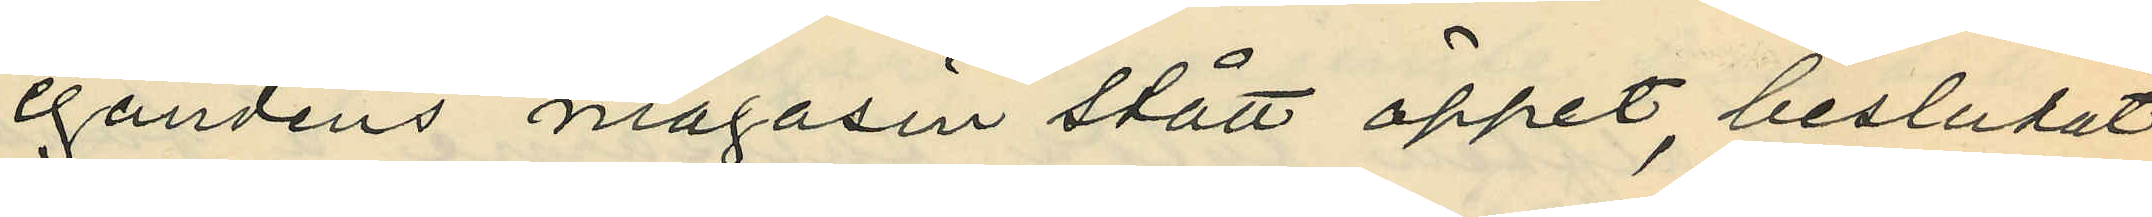egandens magasin stått öppet, beslutat
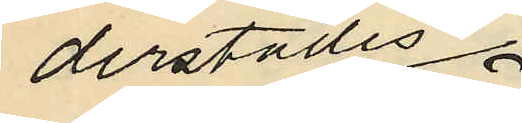derstädes
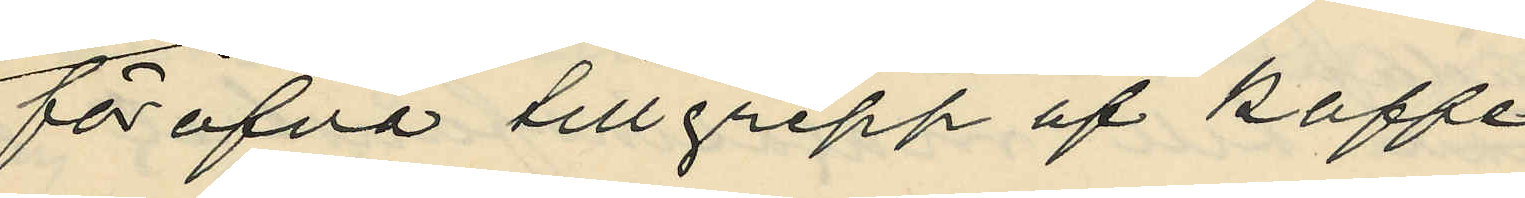föröfva tillgrepp af kaffe
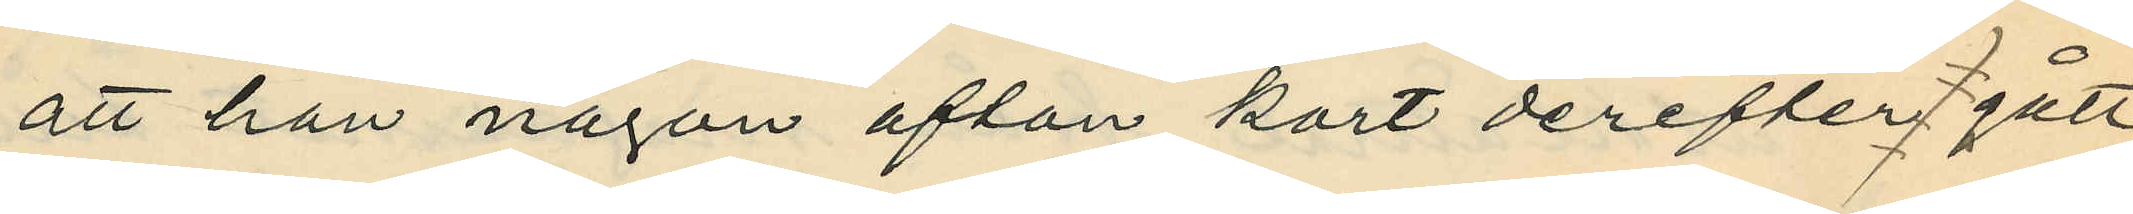att han någon afton kort derefter gått
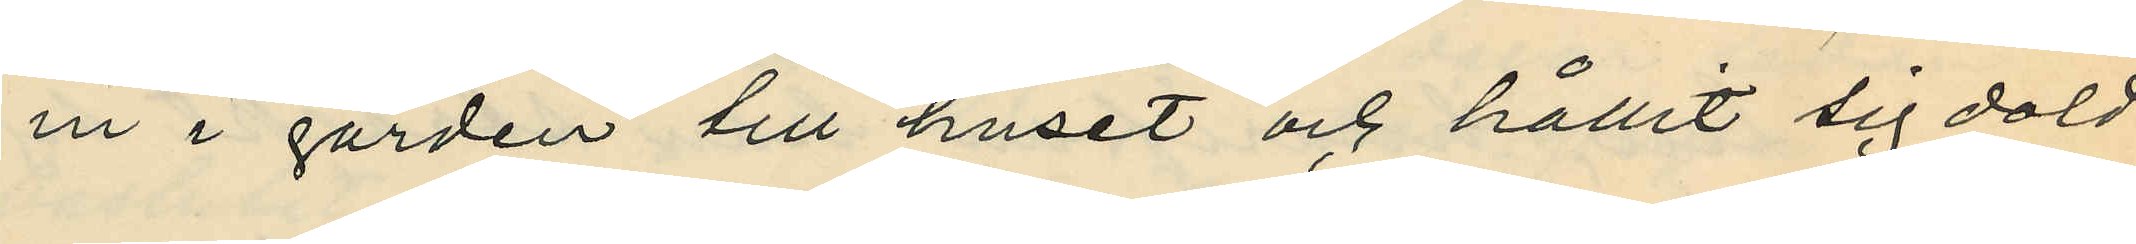in i gården till huset och hållit sig dold
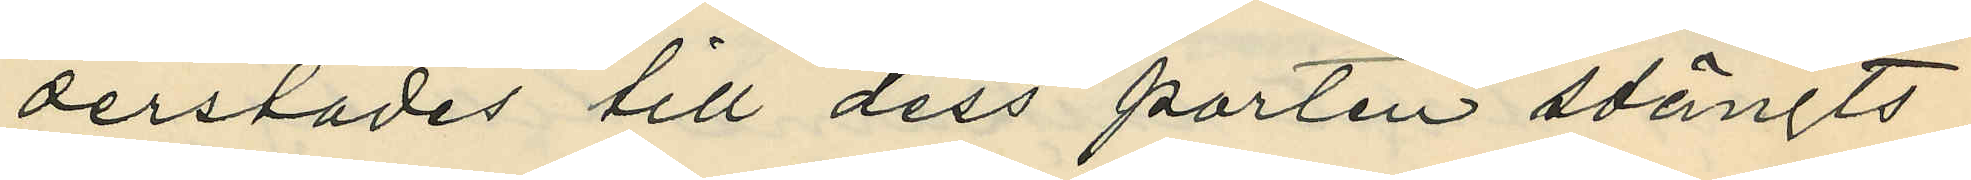derstädes till dess porten stängts;
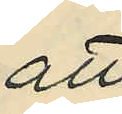att
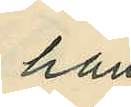han
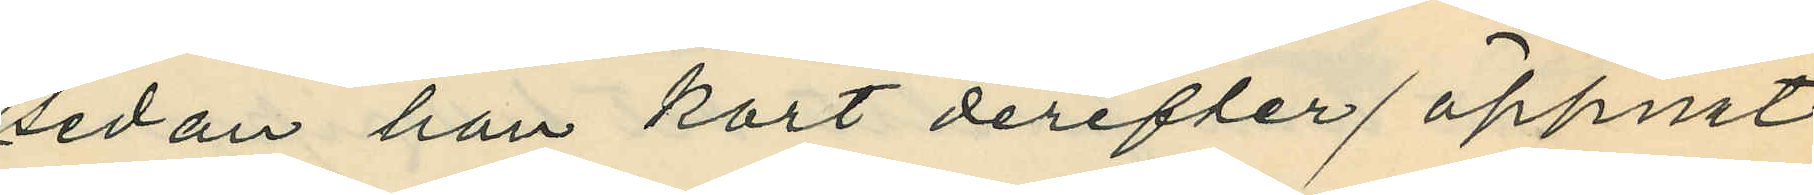sedan han kort derefter öppnat
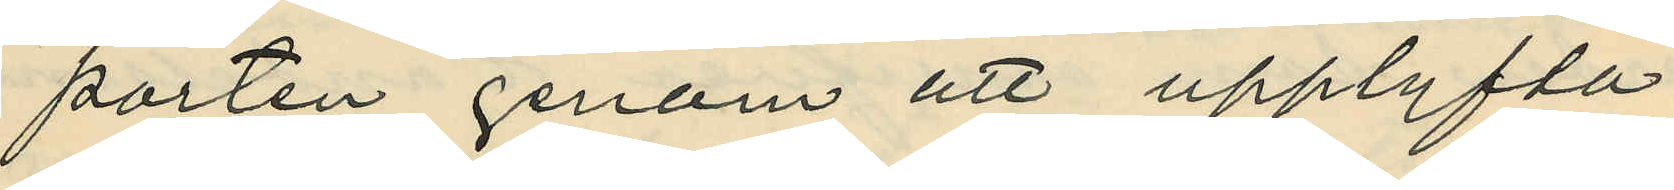porten genom att upplyfta
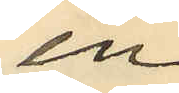en
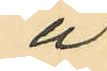å
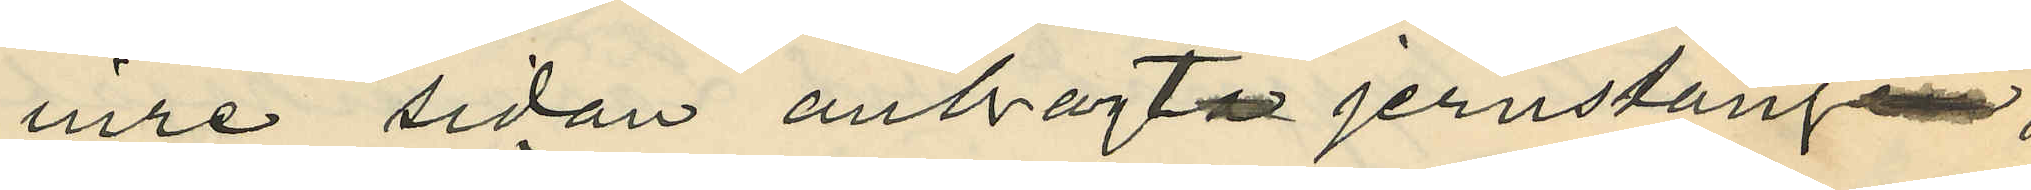inre sidan anbragta jernstången,
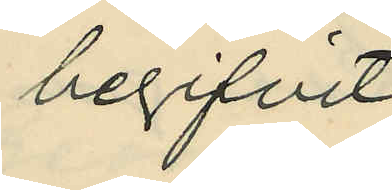begifvit
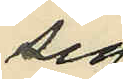sig
